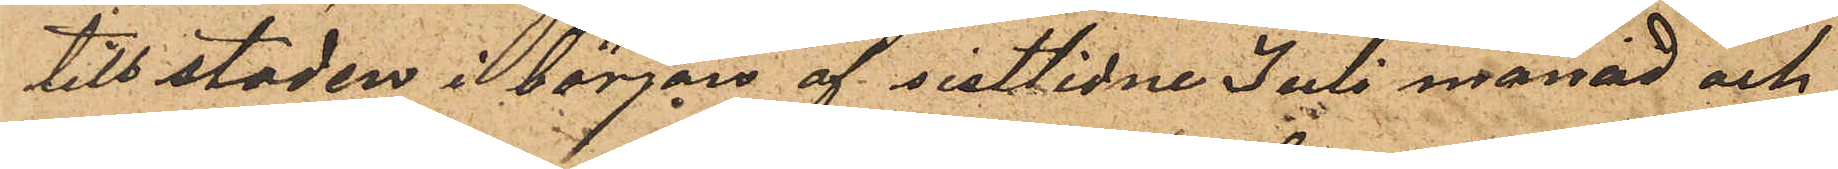till staden i början af sistlidne Juli månad och
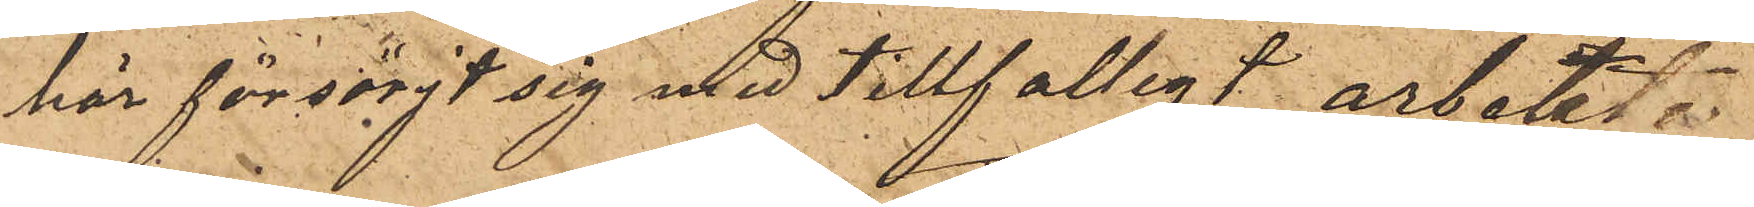här försörjt sig med tillfälligt arbete
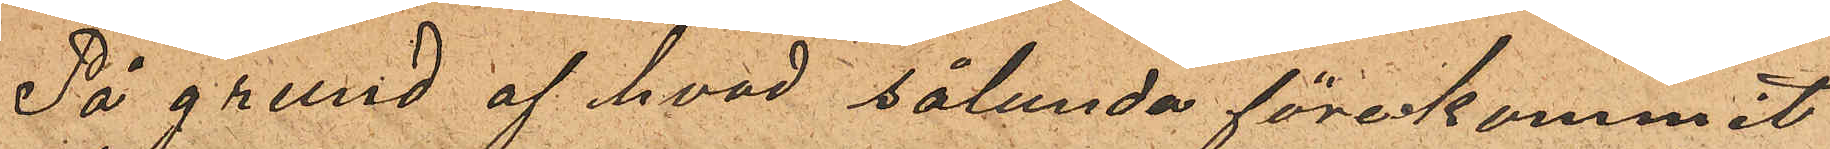På grund af hvad sålunda förekommit
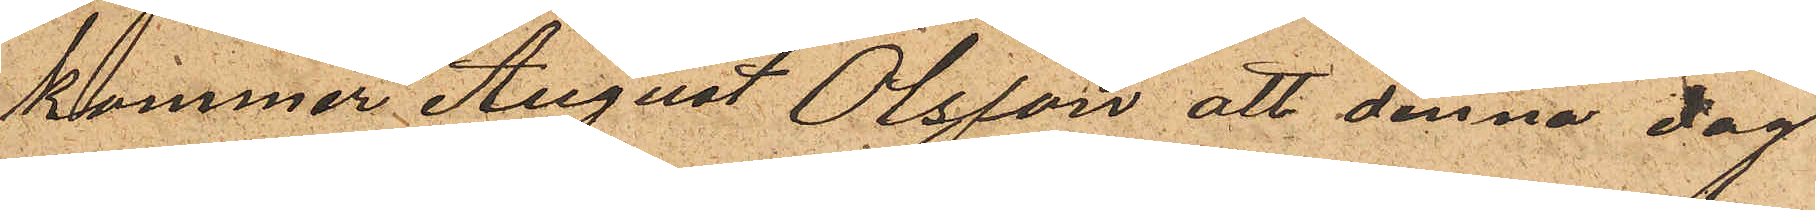kommer August Olsson att denna dag
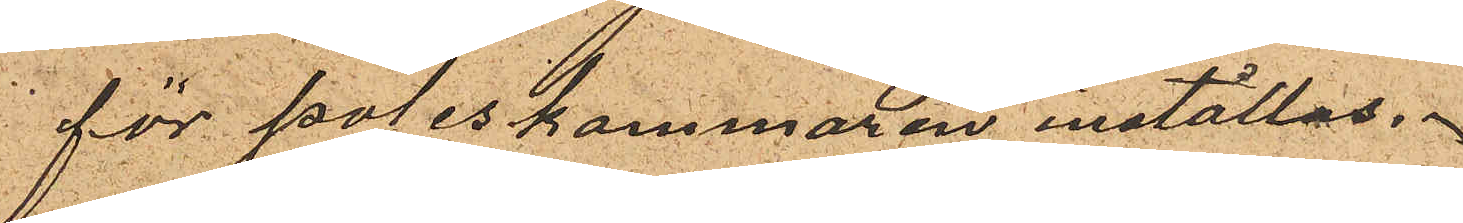för poliskammaren inställas.
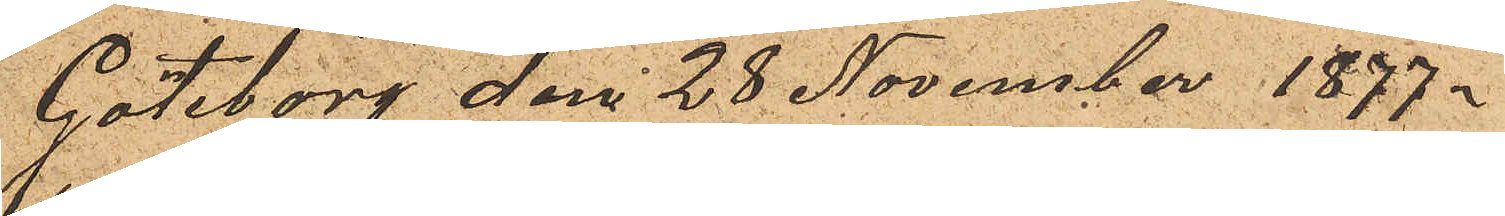Göteborg den 28 November 1877.
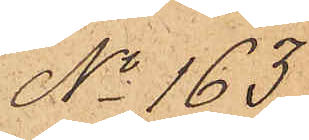No 163.
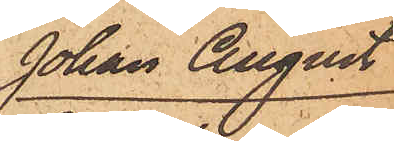Johan August
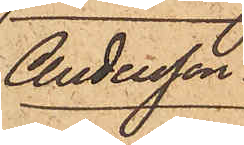Andersson.
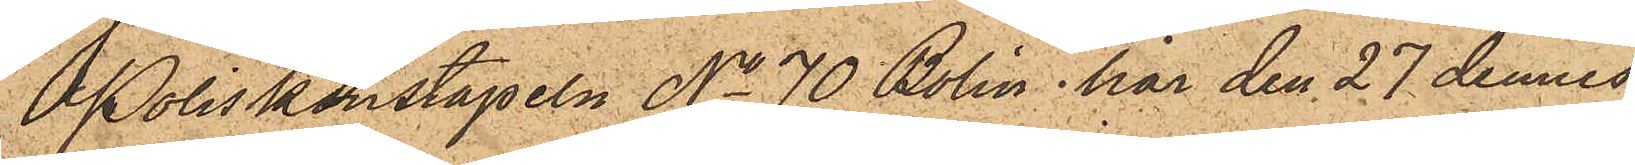Poliskonstapeln No 70 Bolin har den 27 dennes
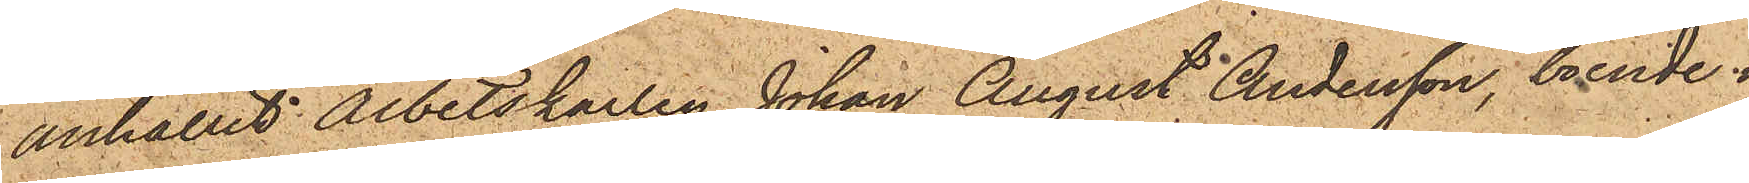anhållit Arbetskarlen Johan August Andersson, boende i
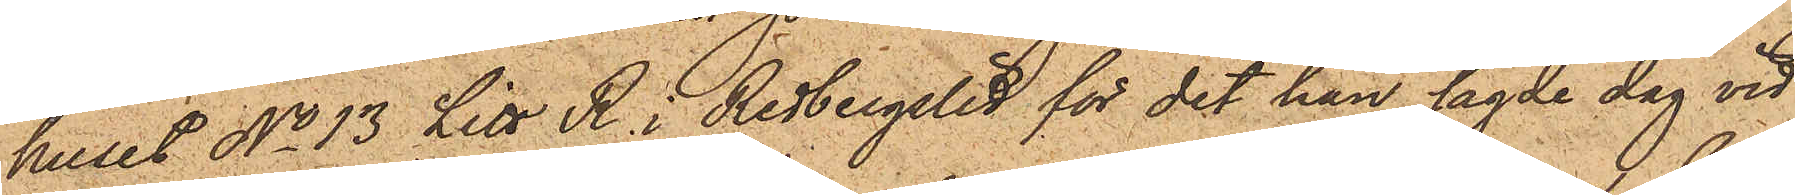huset No 13 Litt R. i Redbergslid för det han sagde dag vid
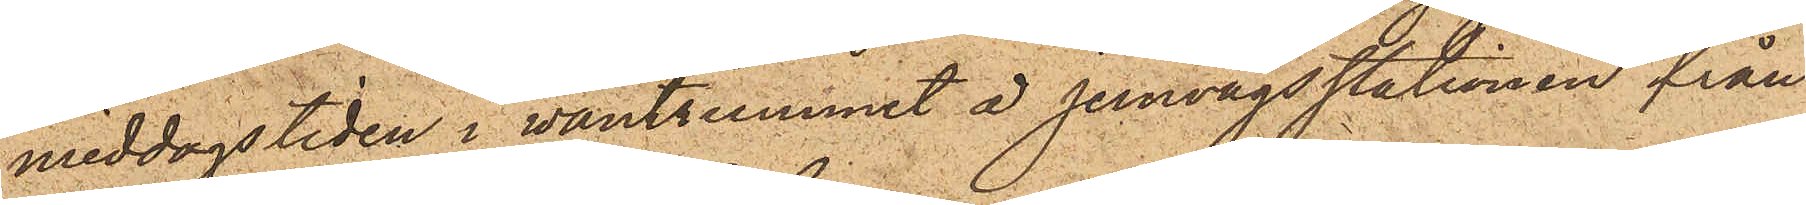middagstiden i väntrummet å Jernvägsstationen från
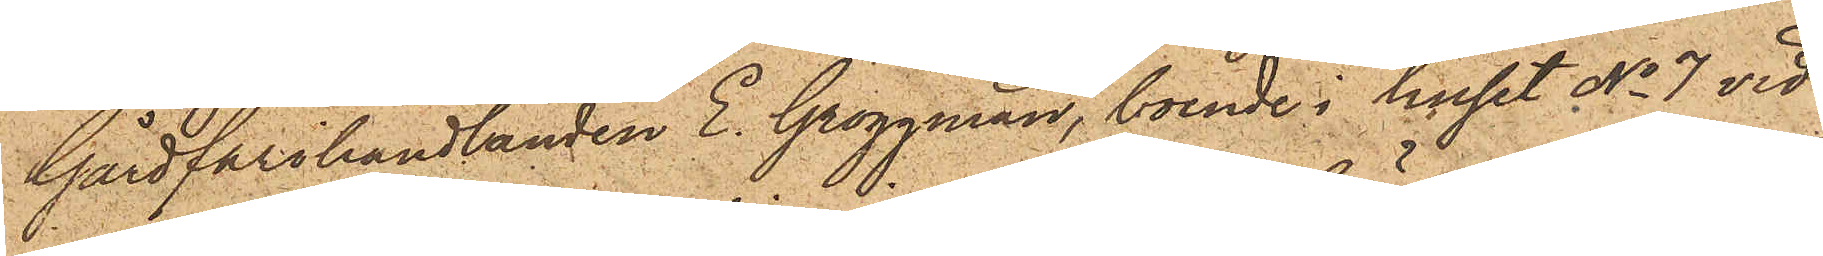Gårdfarihandlanden E. Groggman, boende i huset No 7 vid
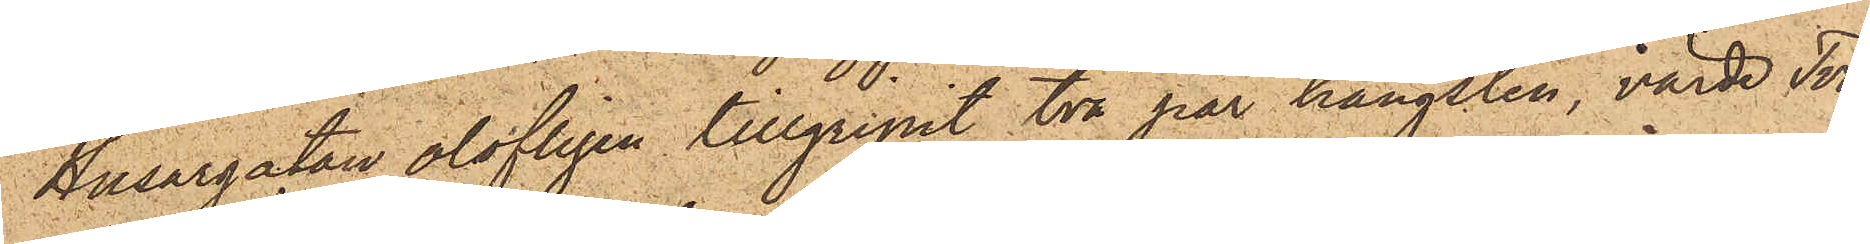Husargatan olofligen tillgripit två par hängslen, värde Två
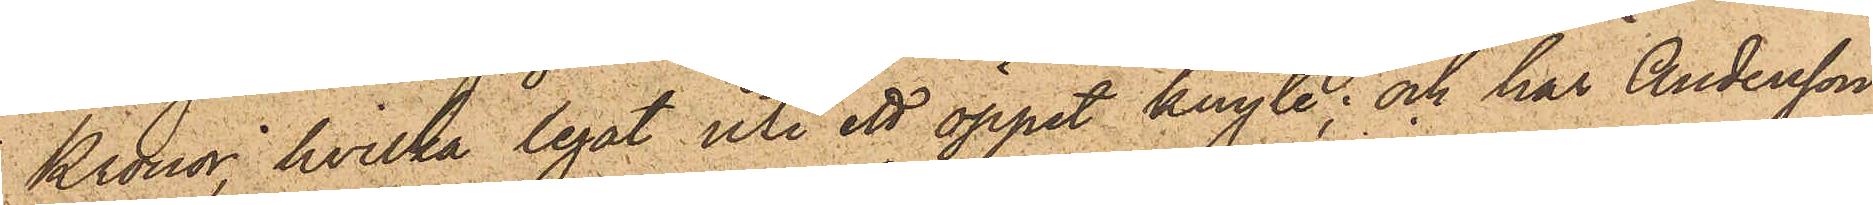Kronor, hvilka legat uti ett öppet knyte; och har Andersson
